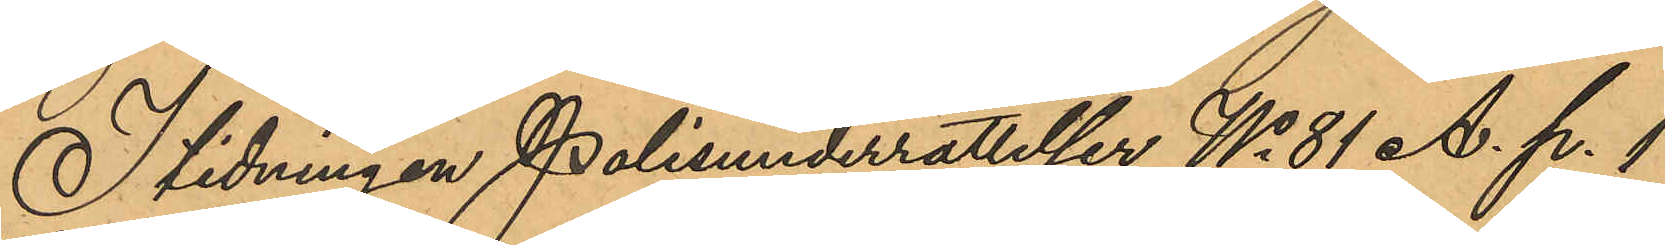I tidningen Polisunderrättelser No 81 A. p. 1
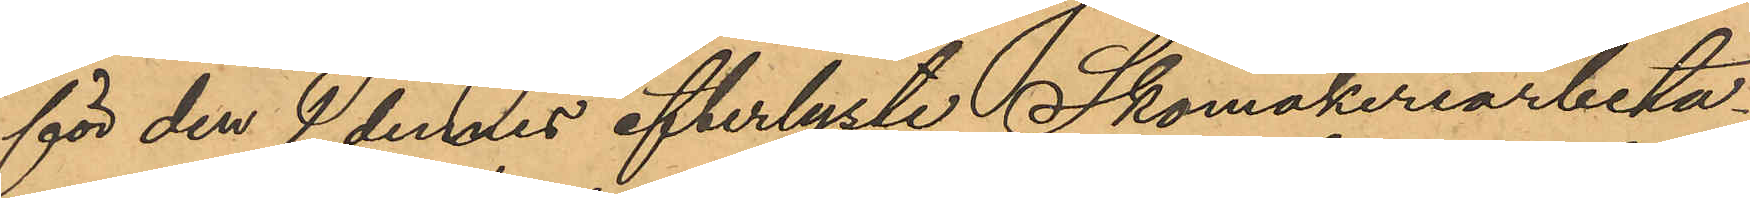för den 1 dennes efterlyste Skomakeriarbeta¬
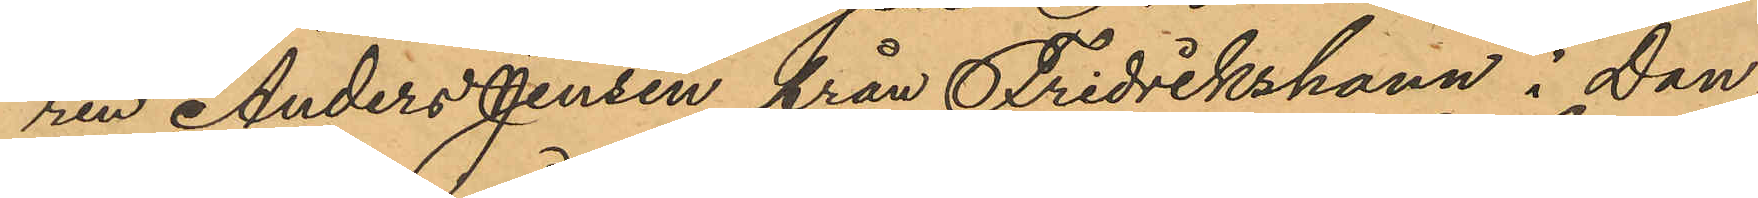ren Anders Jensen från Fredrikshamn i Dan
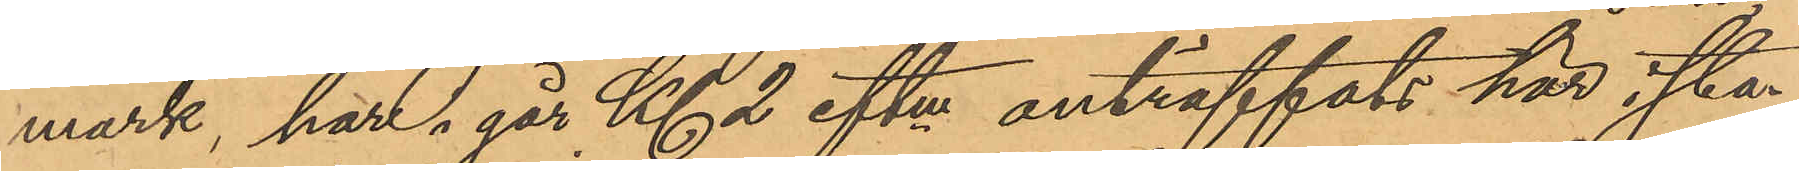mark, har i går Kl 2 eftm anträffats här i sta¬
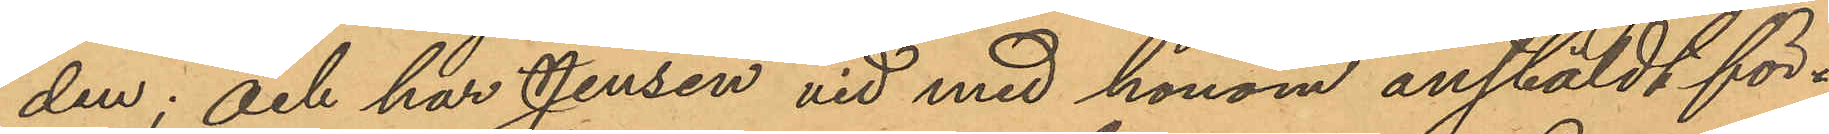den; och har Jensen vid med honom anstäldt för¬
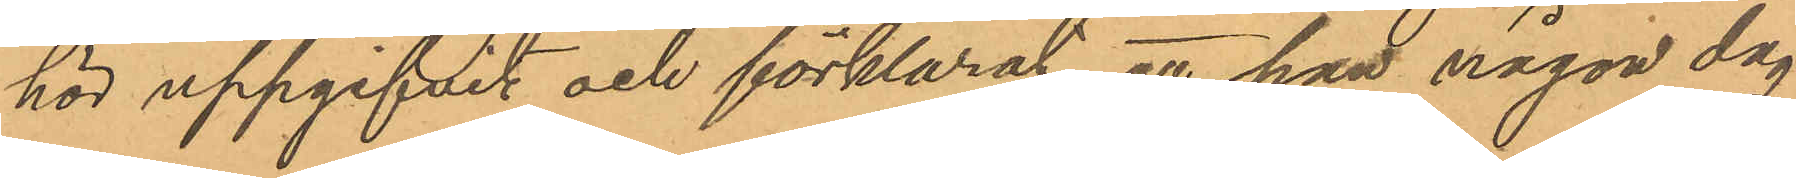hör uppgifvit och förklarat, att han någon dag
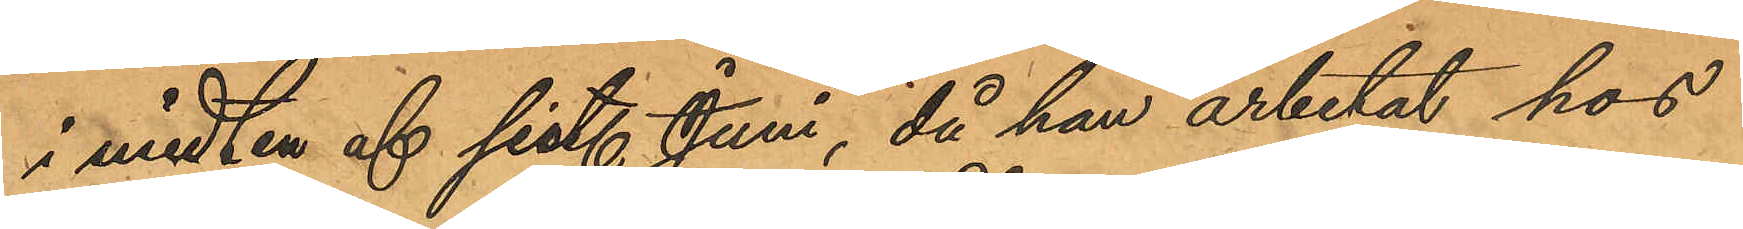i midten af sist. Juni, då han arbetat hos
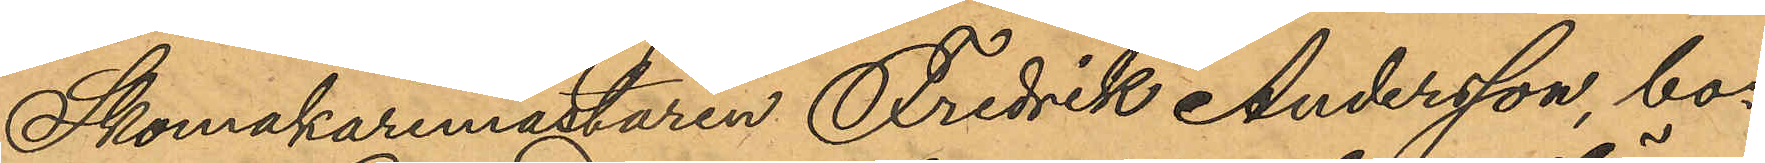Skomakaremästaren Fredrik Andersson, bo¬
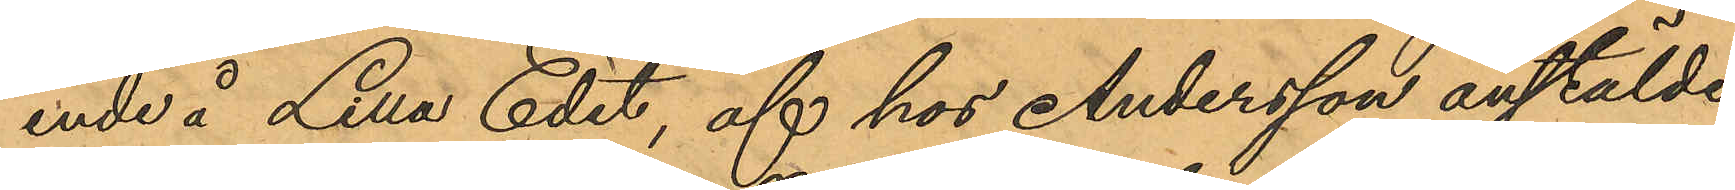ende å Lilla Edet, af hos Andersson anstälde
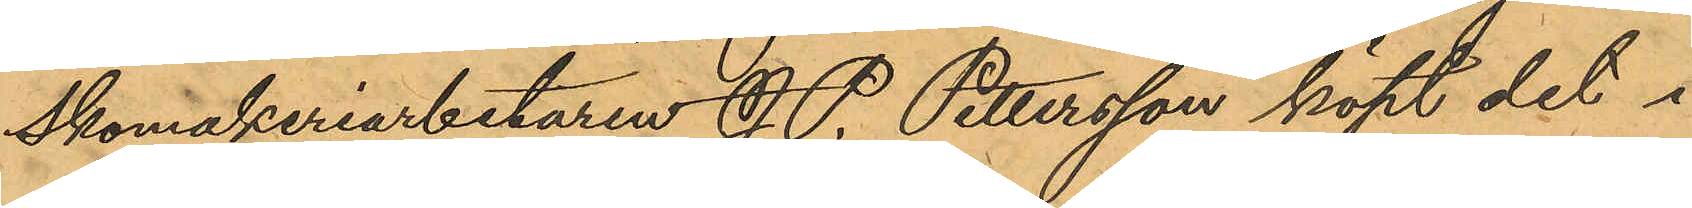Skomakeriarbetaren J. P. Pettersson köpt det i
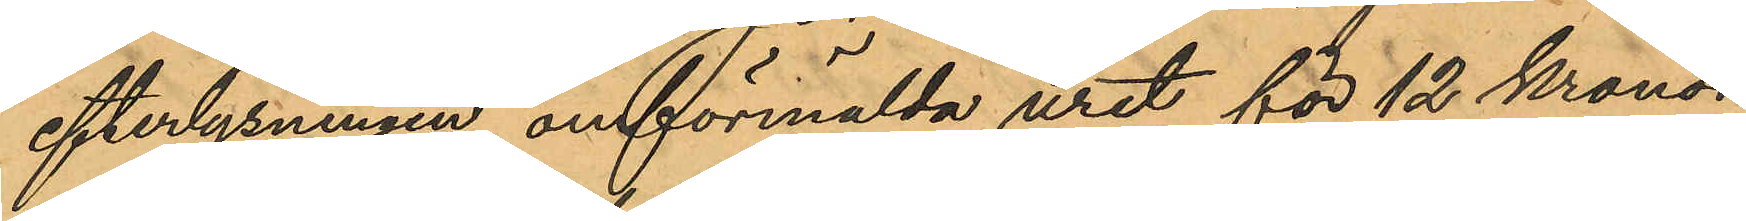efterlysningen omförmälda uret för 12 Kronor
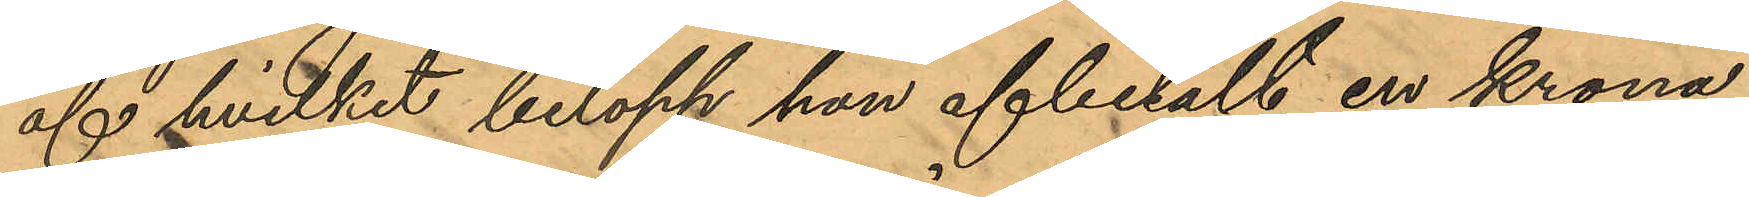af hvilket belopp han afbetalt en krona;
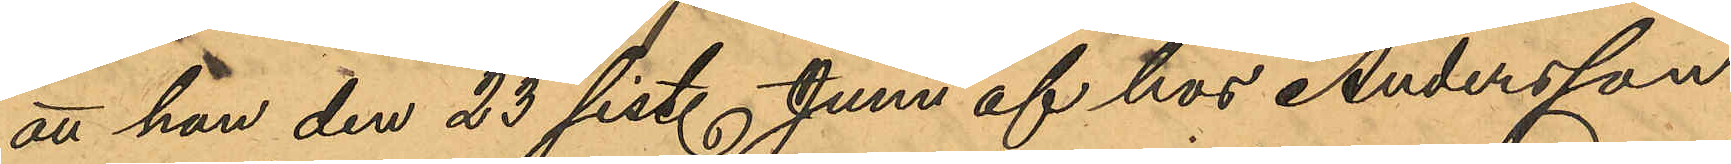att han den 23 sist. Juni af hos Andersson
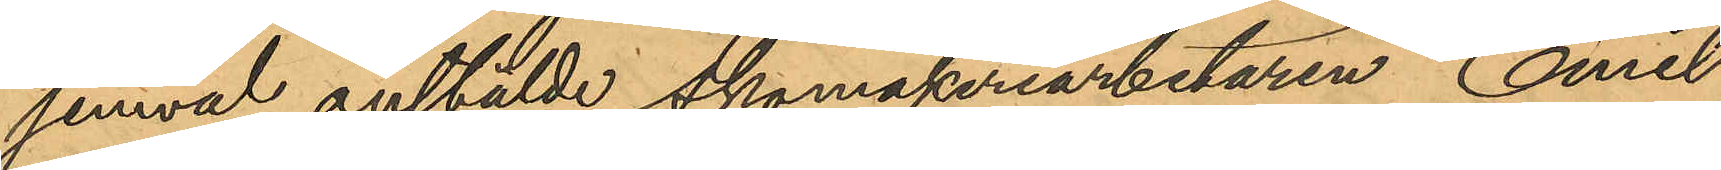jemväl anstälde Skomakeriarbetaren Emil
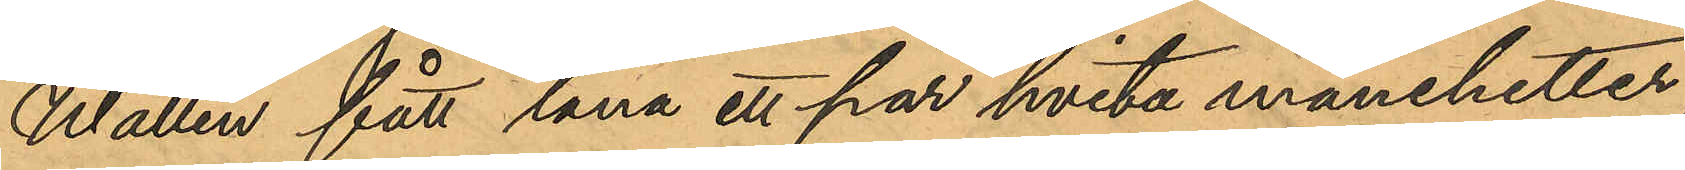Wallin fått låna ett par hvita manchetter,
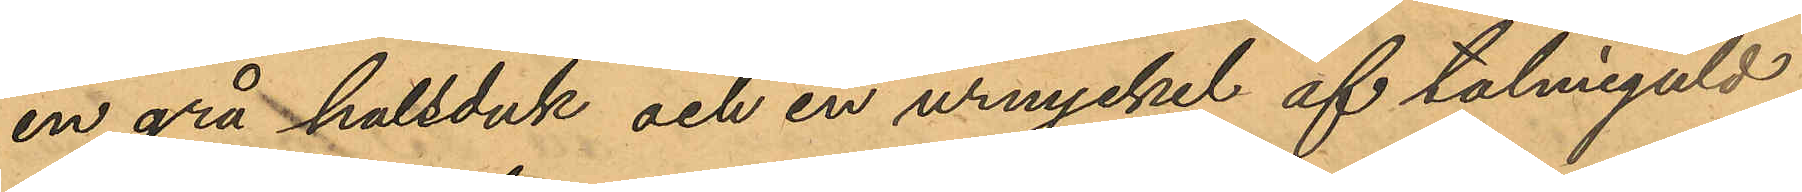en grå halsduk och en urnyckel af talmiguld
